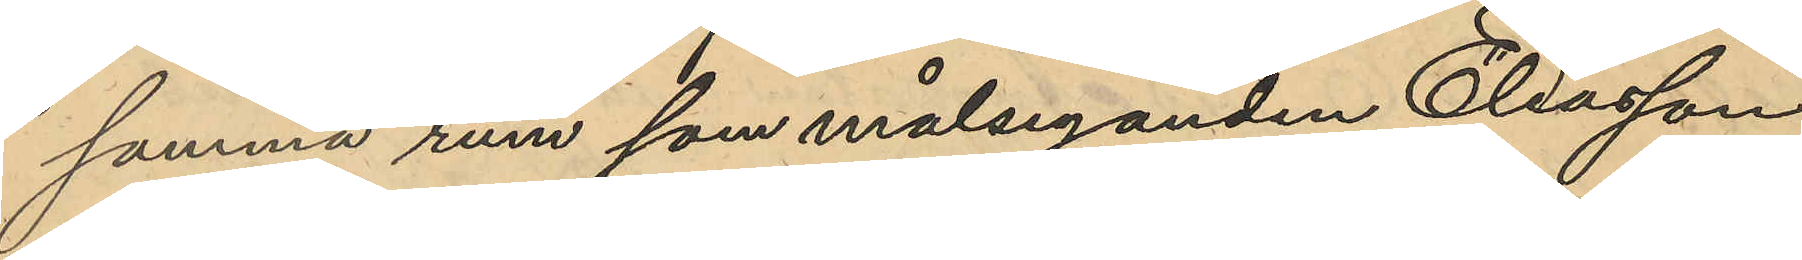samma rum som målseganden Eliasson
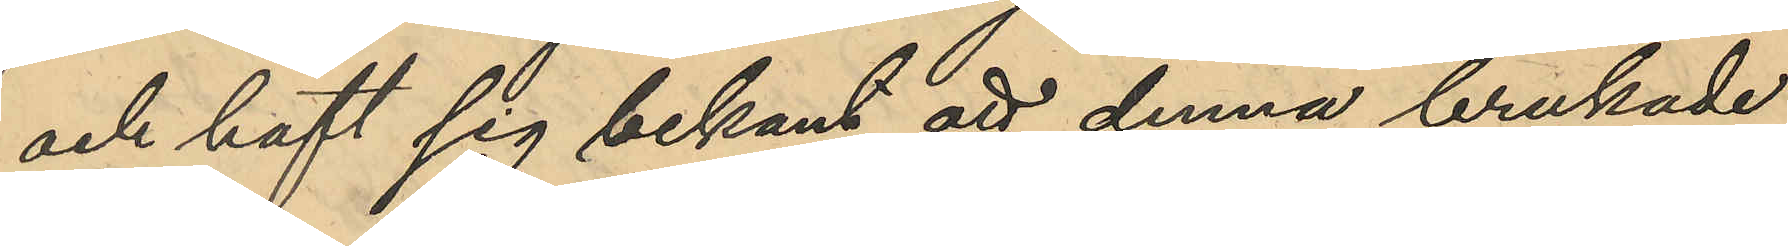och haft sig bekant att denna brukade
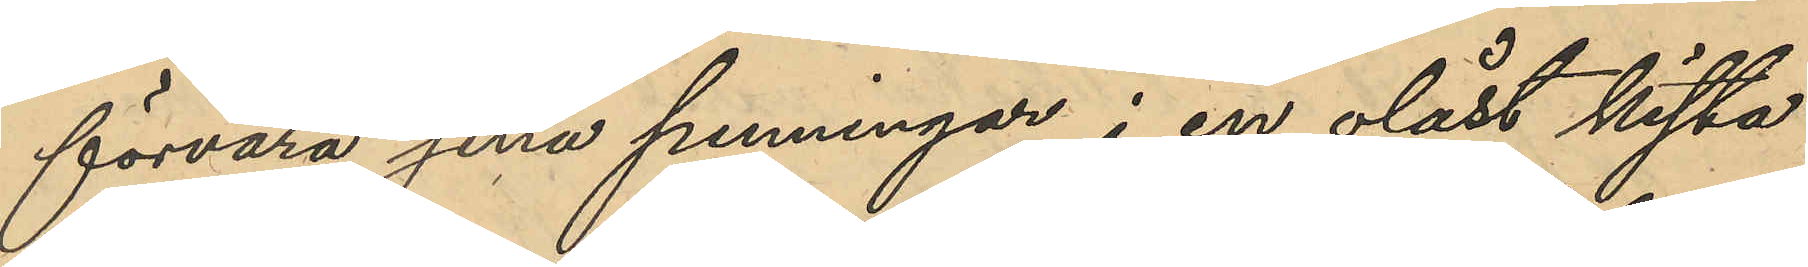förvara sina penningar i en olåst kista
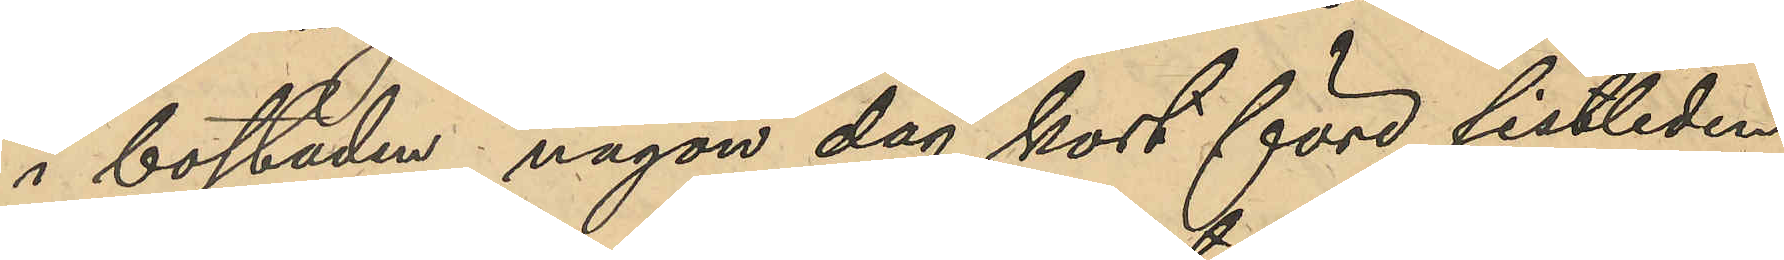i bostaden, någon dag kort före sistlidne
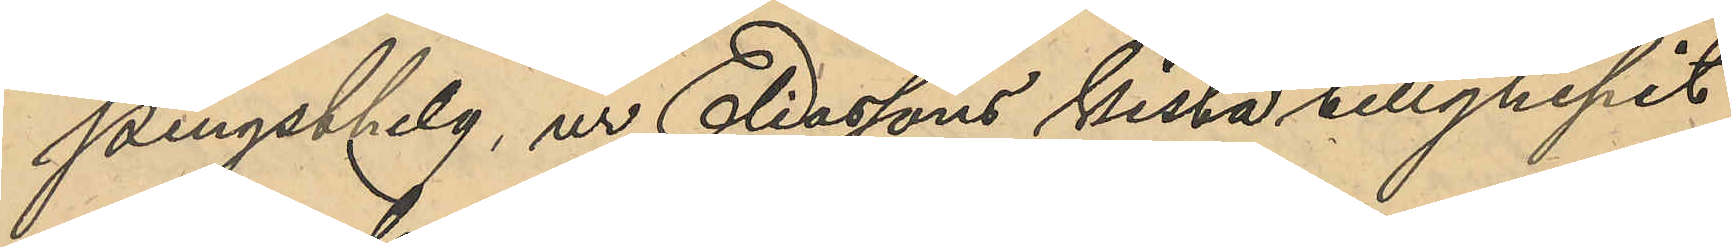pingsthelg, ur Eliassons kista tillgripit
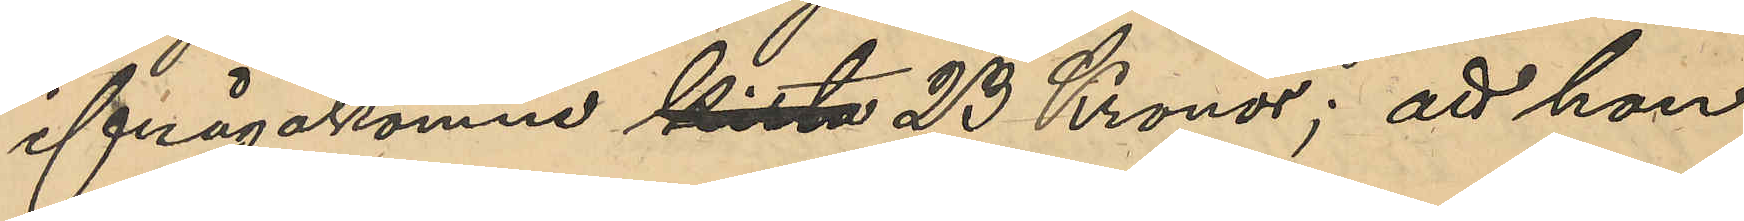ifrågakomne kista 23 Kronor; att hon
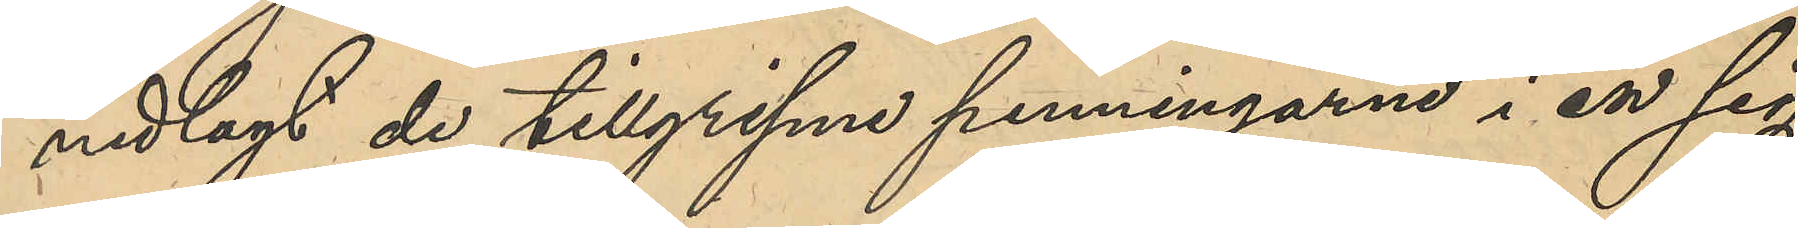nedlagt de tillgripne penningarne i en sig
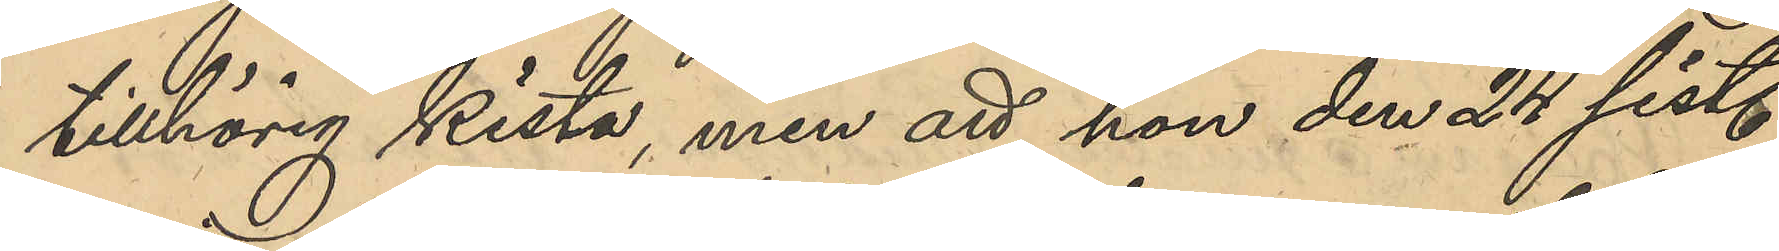tillhörig kista,men att hon den 24 sist.
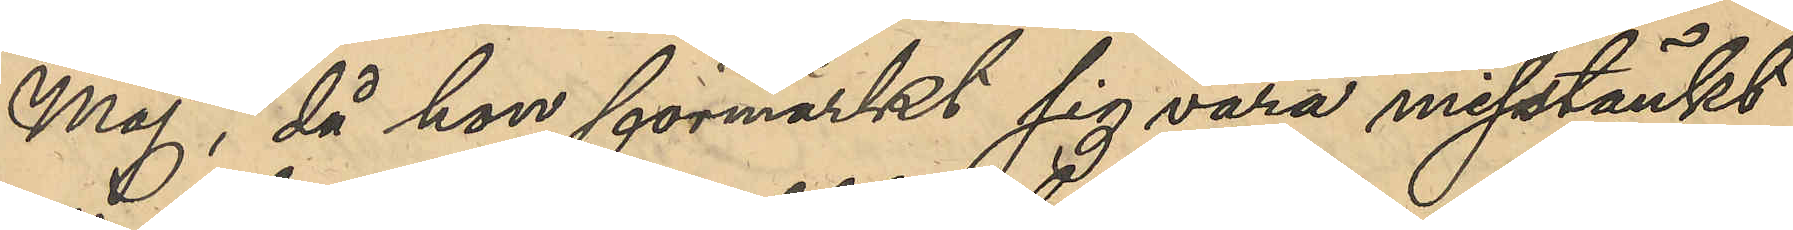Maj, då hon förmärkt sig vara misstänkt
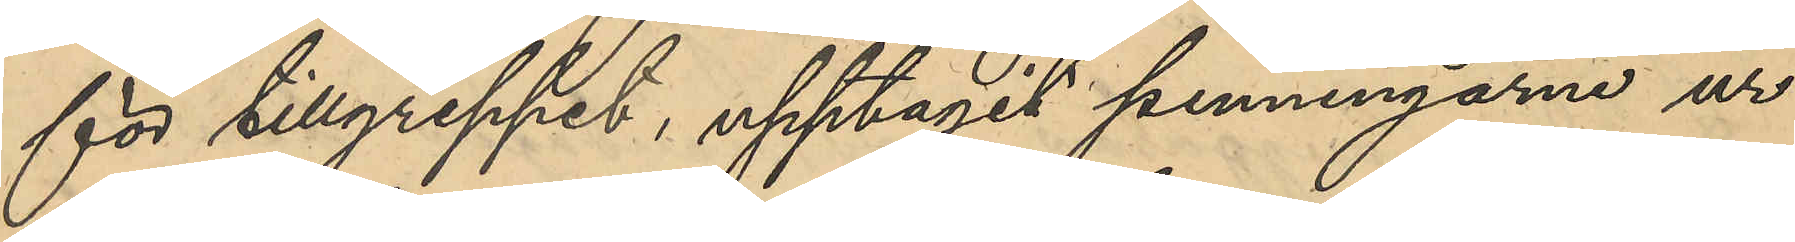för tillgreppet, upptagit penningarne ur
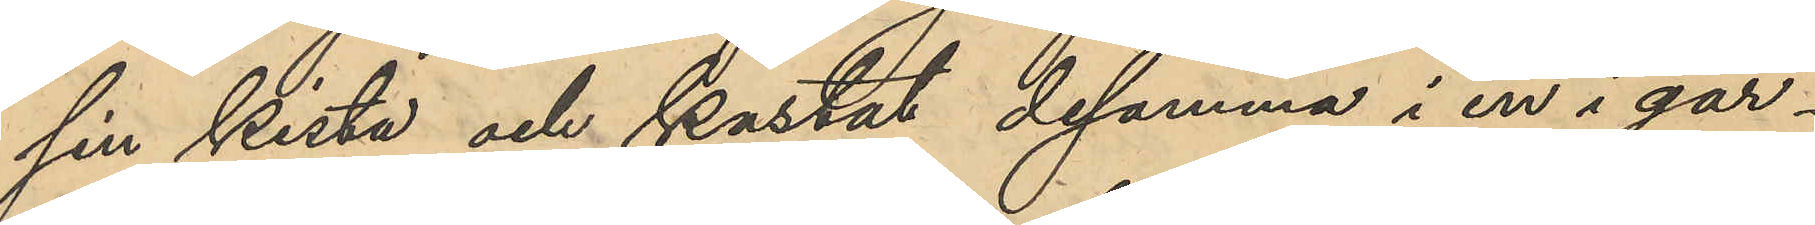sin kista och kastat desamma i en i går¬
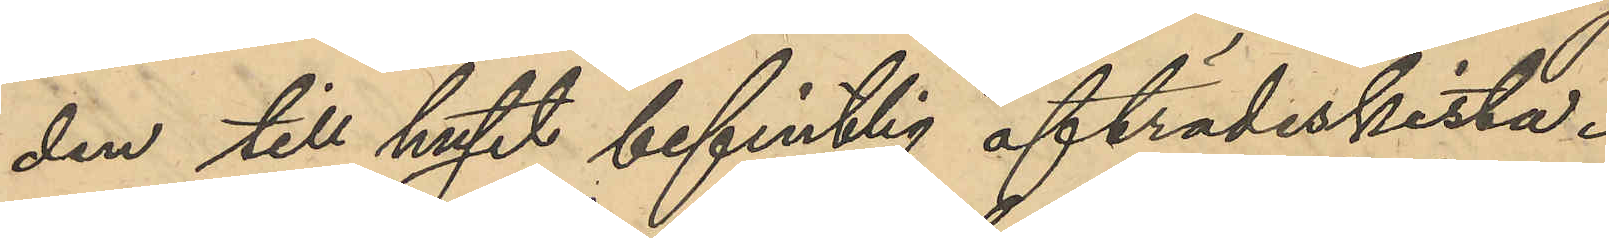den till huset befintlig afträdeskista.
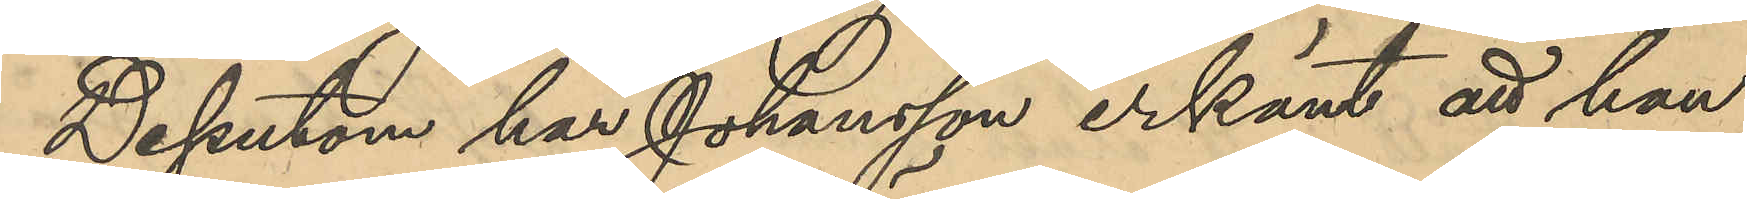Dessutom har Johansson erkänt att hon
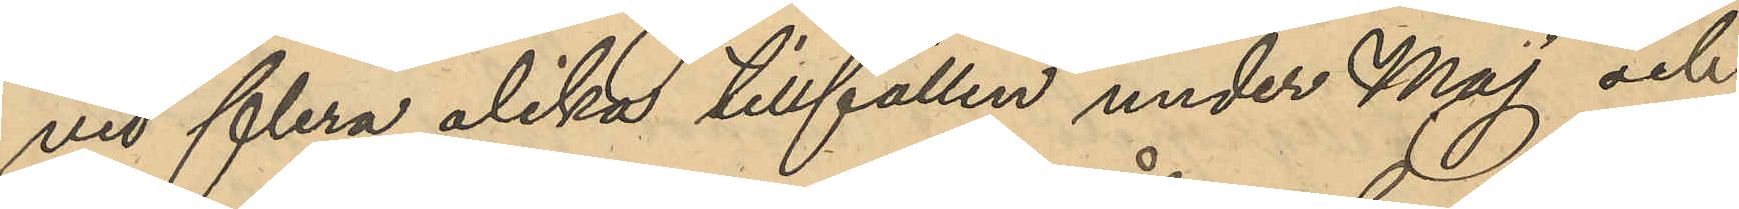vid flera olika tillfällen under Maj och
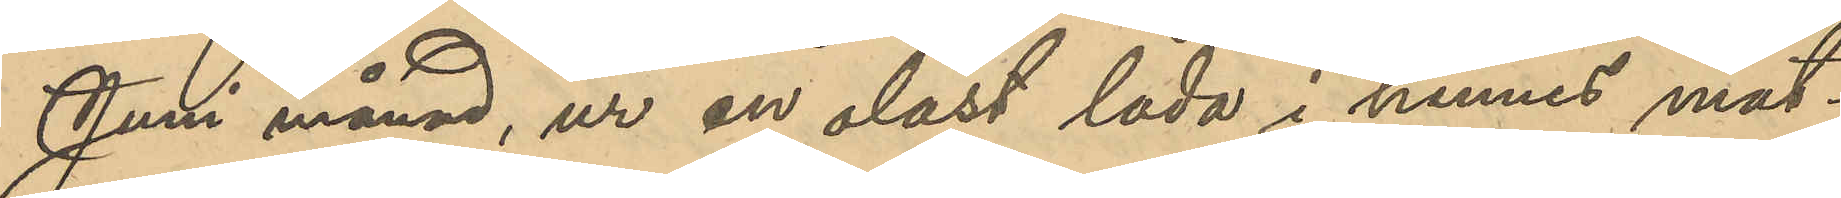Juni månad, ur en olåst låda i hennes mat¬
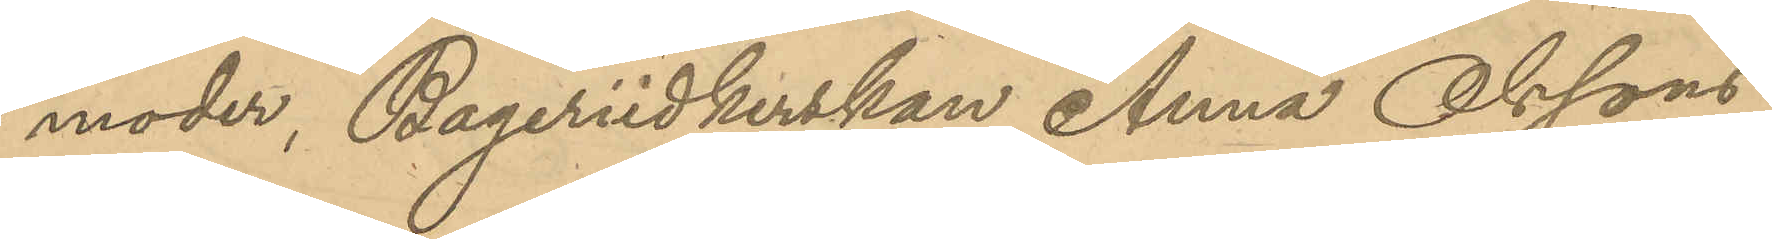moder, Bageriidkerskan Anna Olssons
